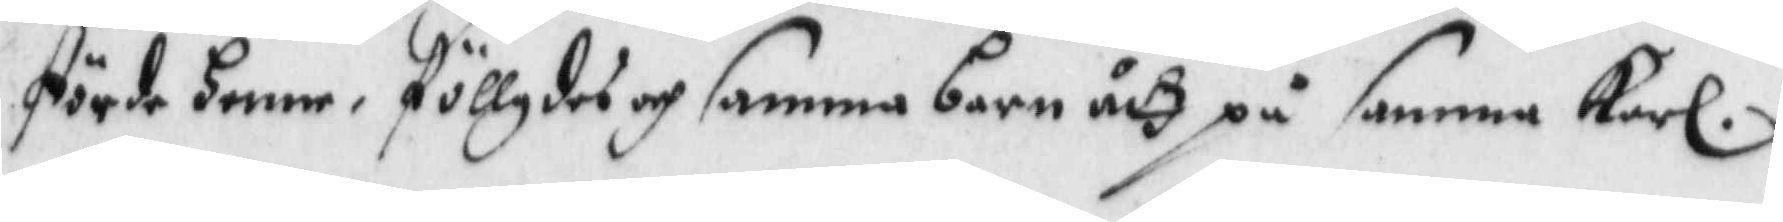förde henne, föllgdes och samma barn åth på samma Karl.
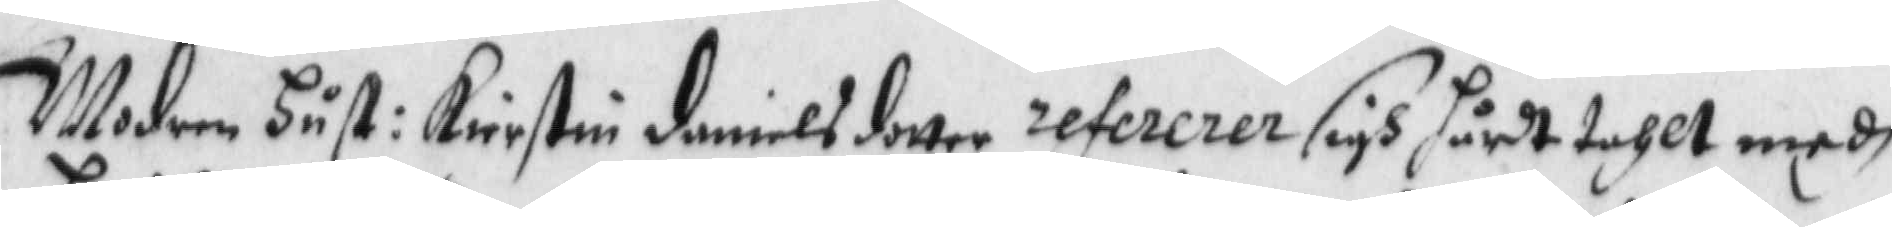Modern Hust: Kierstin danielsdotter refererer sigh hårdt tahlt medh
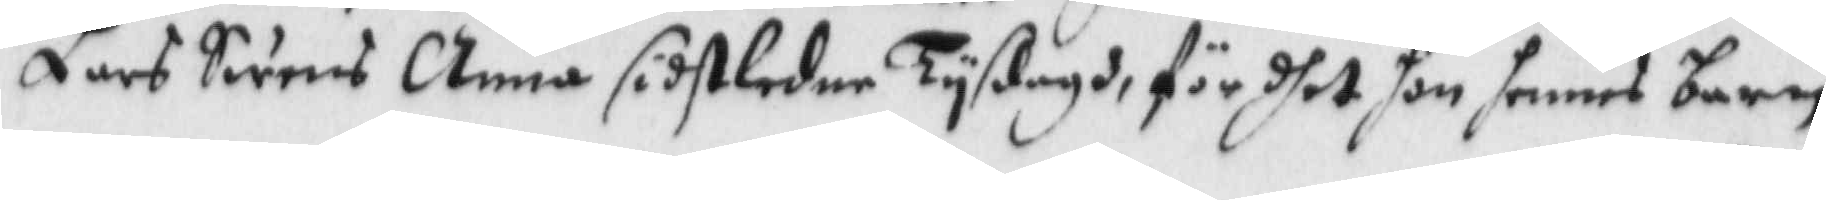Lars Swens Anna sidstledne Tyßdagh, för dhet hon hennes barn
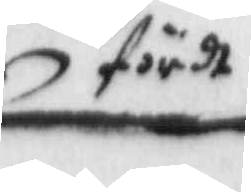fördt
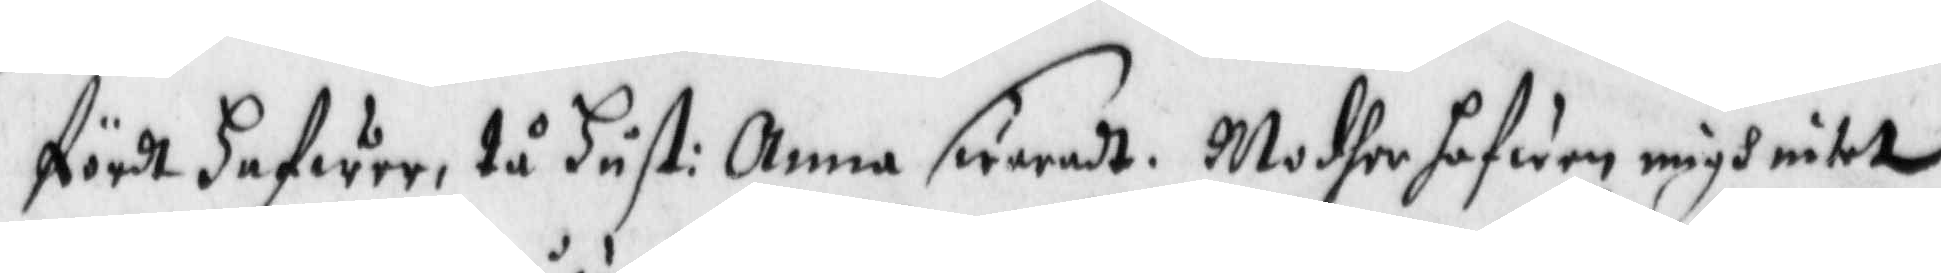fördt hafwer, tå Hust: Anna swaradt, Modher hafwa migh intet
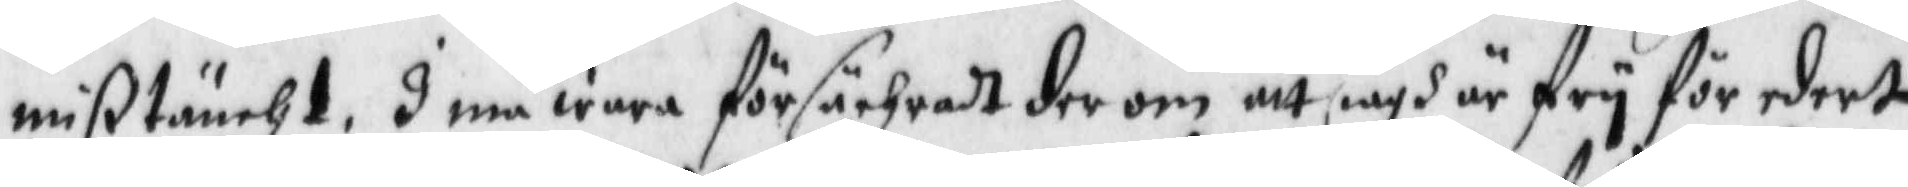mißtäncht, I må wara försächradt der om att iagh är fry för edert
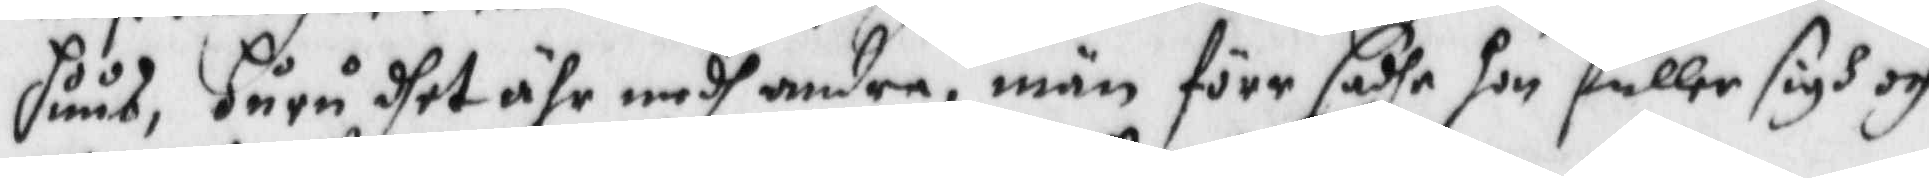huus, huru dhet ähr medh andra, män förr sadhe hon fuller sigh och
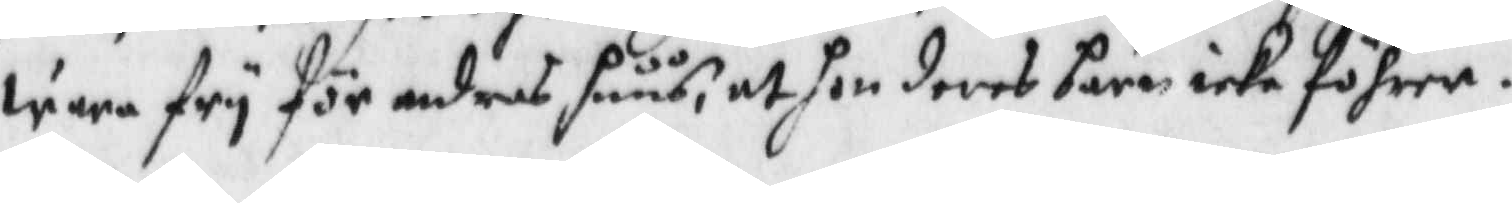wara fry för andras huus, att hon deras barn icke förer.
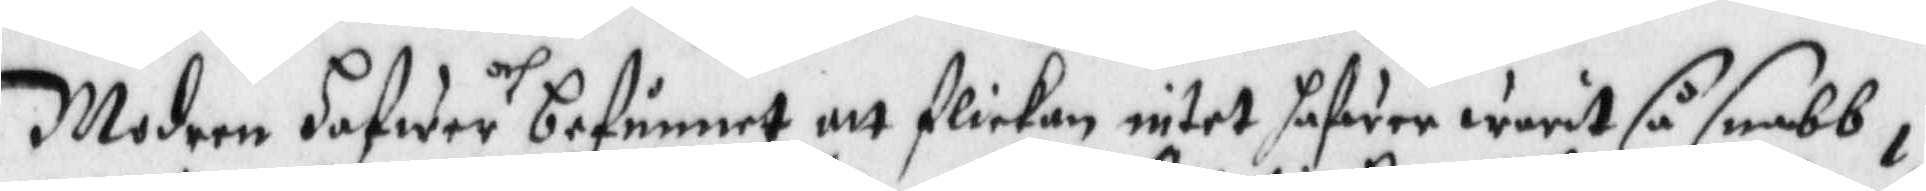Modren hafwer och befunnet att flickan intet hafwer warit så snabb i
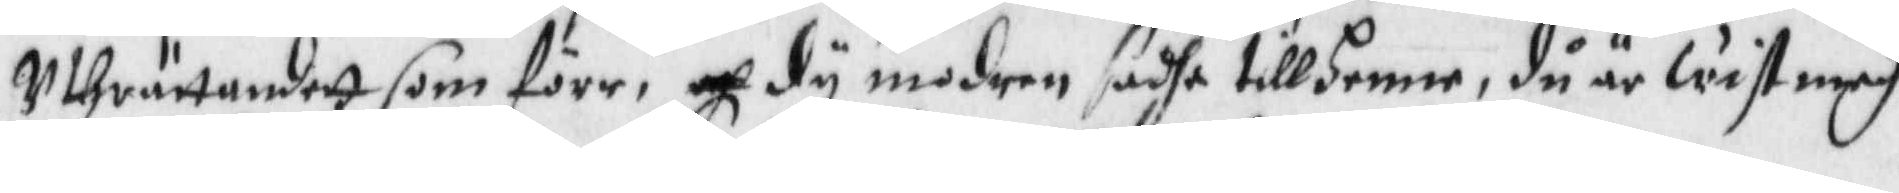Uthrättandett som förr, och dy modren dashe till henne, du är wist medh
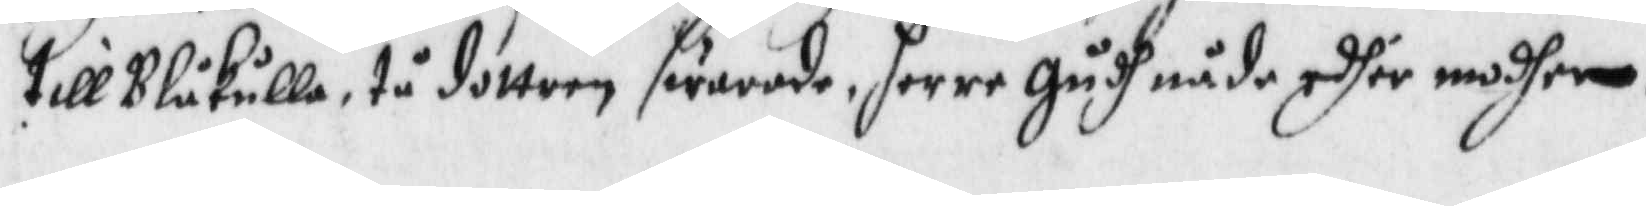till Blåkulla, tå dottren swarade, herre Gudh nåde edher modher.
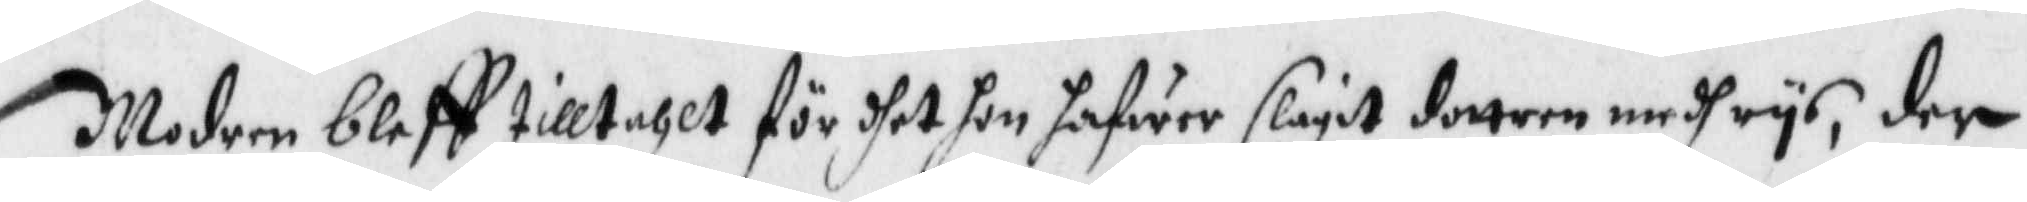Modren bleff tilltahlt för dhet hon hafwer slagit dottren medh rys, der
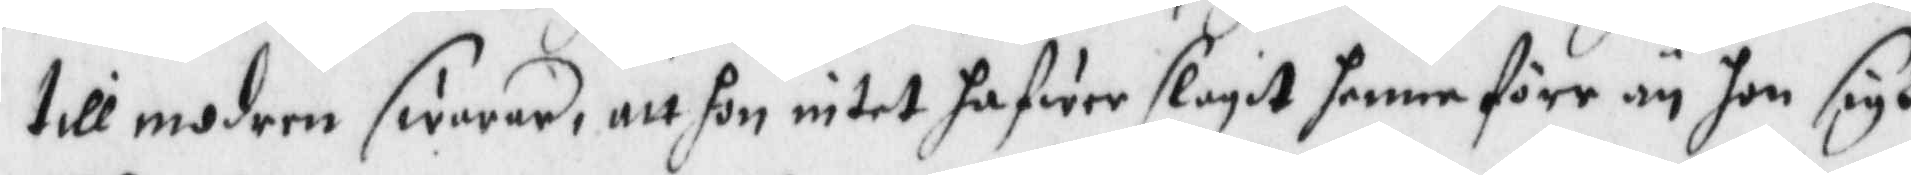till modern swarade, att hon intet hafwer slagit henne förr än hon sigh
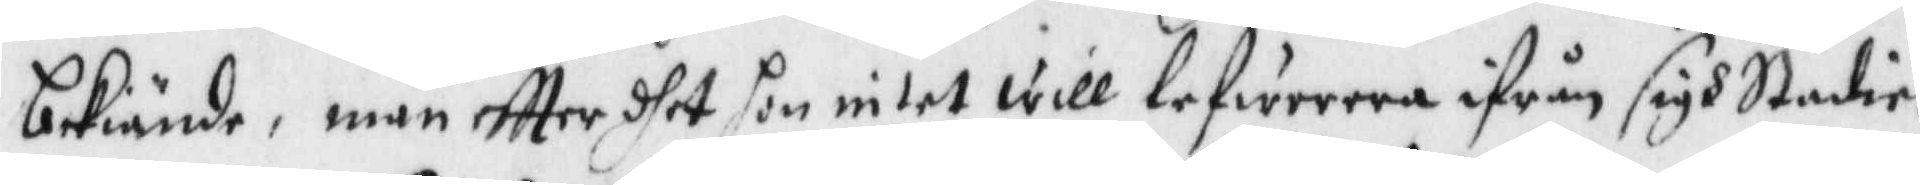bekiände, män eftter dhet hon intet will lefwerera ifrån sigh Stedie¬
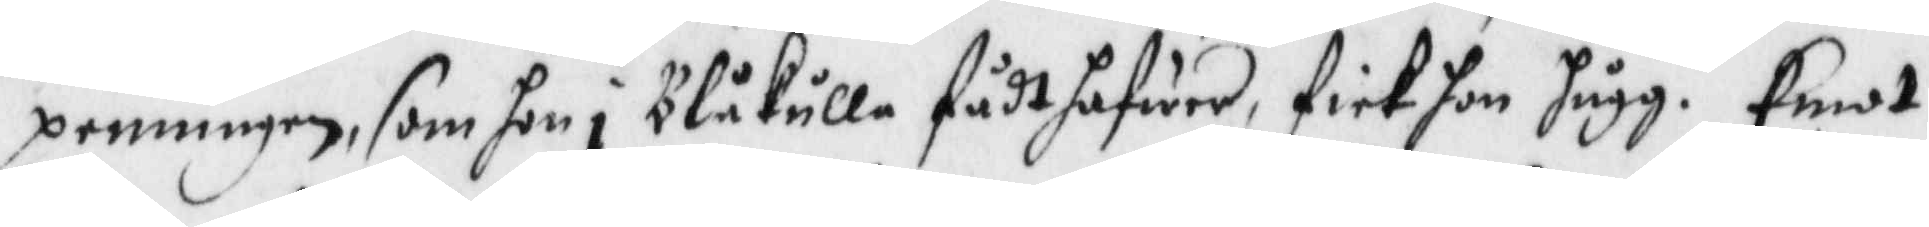penningen, som hon i Blåklla fådt hafwer, fick hon hugg. Emot
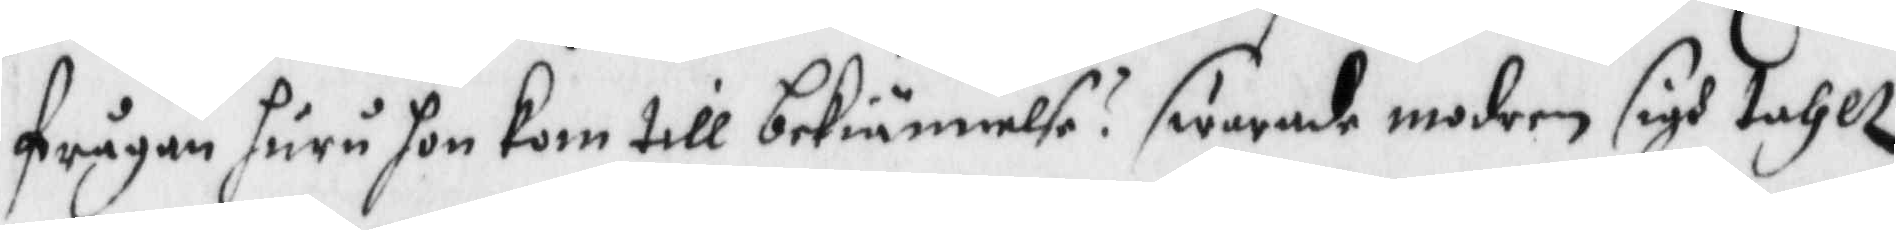frågan huru hon kom till bekiännelse? swarade modren sigh tahtt
